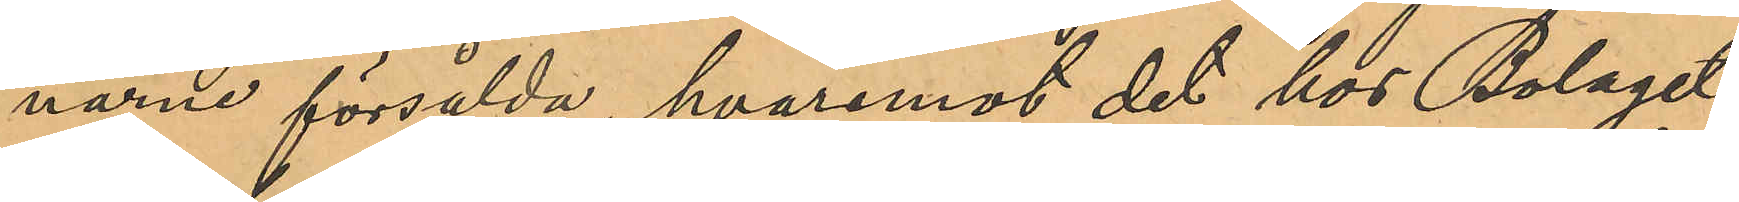narne försålda, hvaremot det hos Bolaget
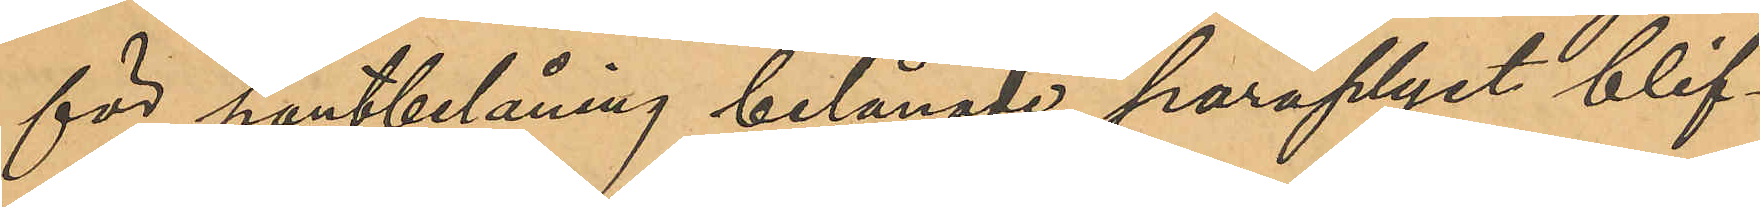för pantbelåning belånade paraplyet blif¬
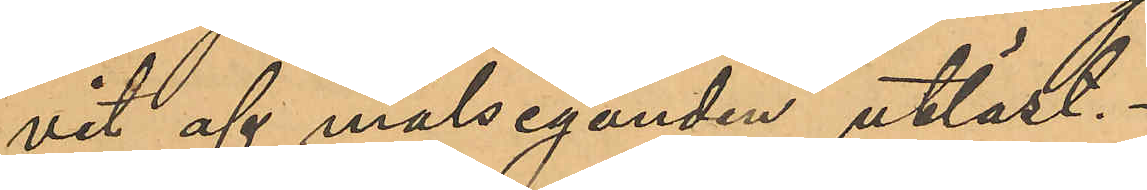vit af målseganden utlöst.
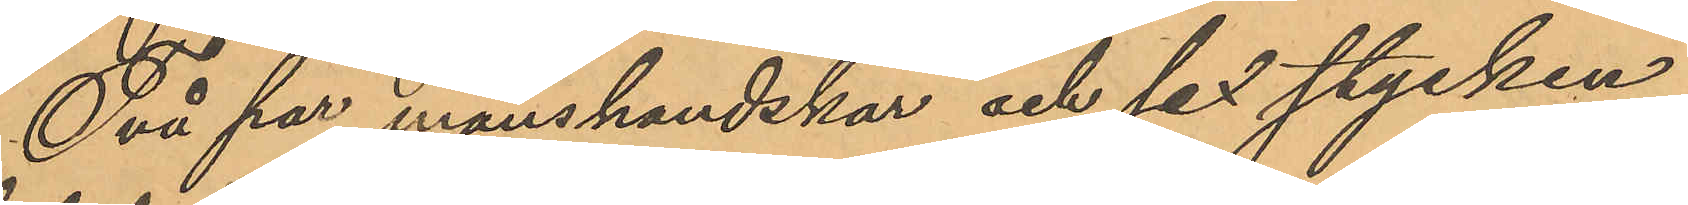Två par manshandskar och sex stycken
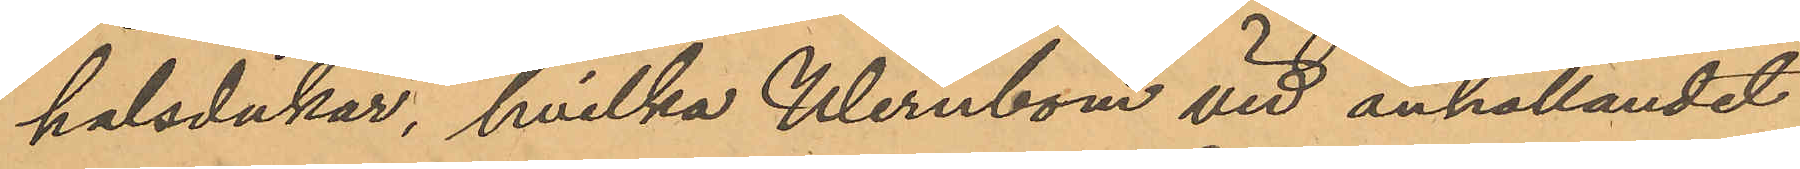halsdukar, hvilka Wernbom vid anhållandet
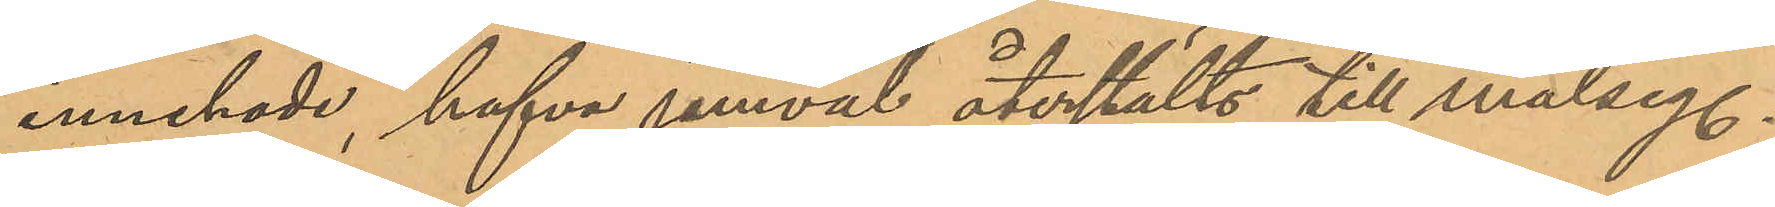innehade, hafva jemväl återstälts till målseg.
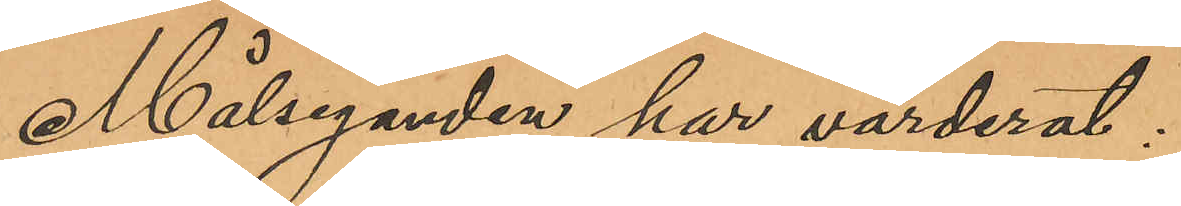Målseganden har värderat:
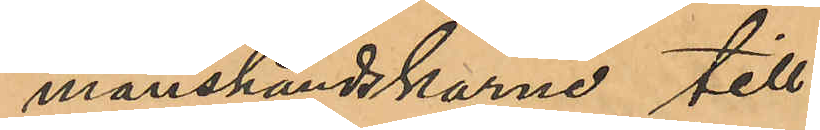manshandskarne till
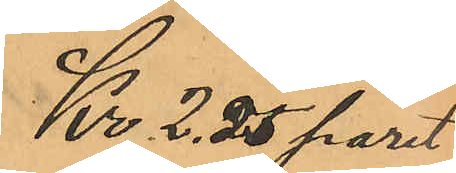Kr 2,25 paret
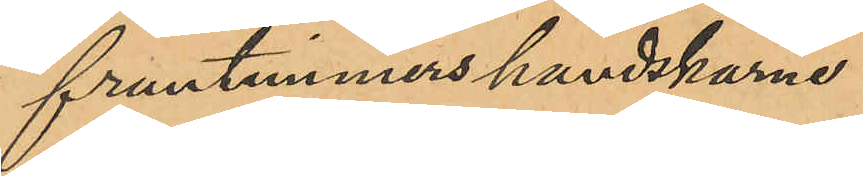fruntimmershandskarne
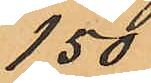1,50
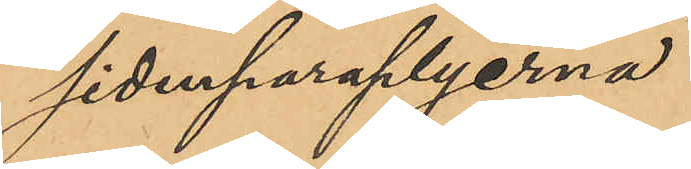sidenparaplyerna
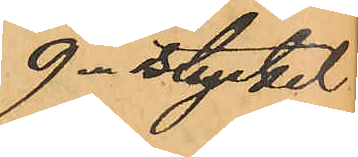9-stycket
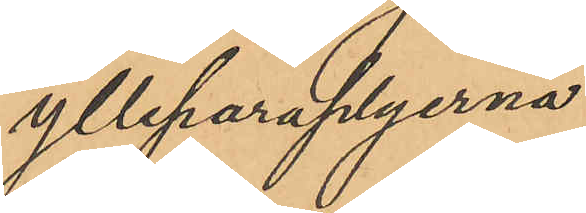ylleparaplyerna
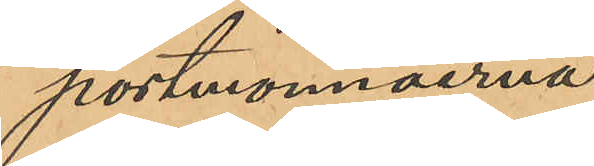portmonnäerna
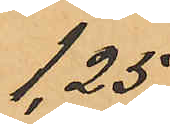1,25
